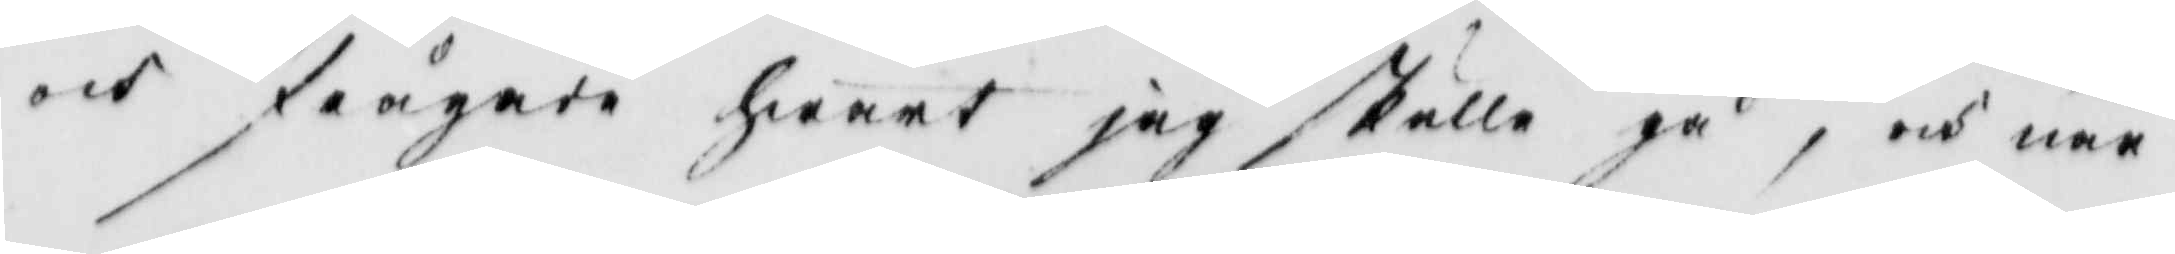och frågade hwart jag skulle gå, och när
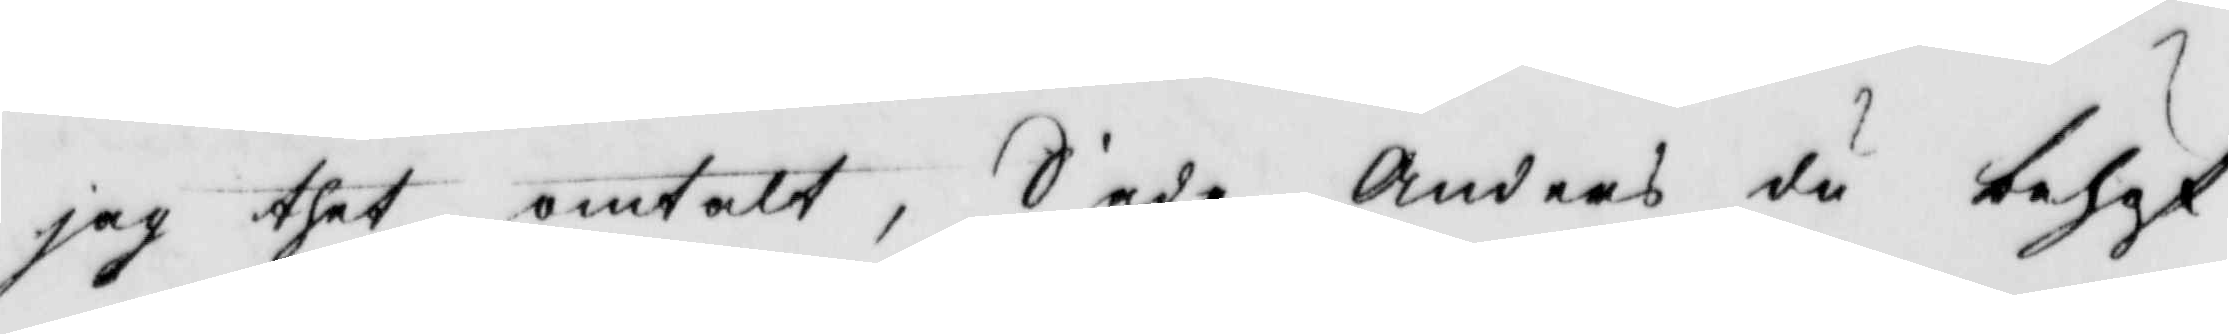jag thet omtalt, Sade Anders du behöf¬
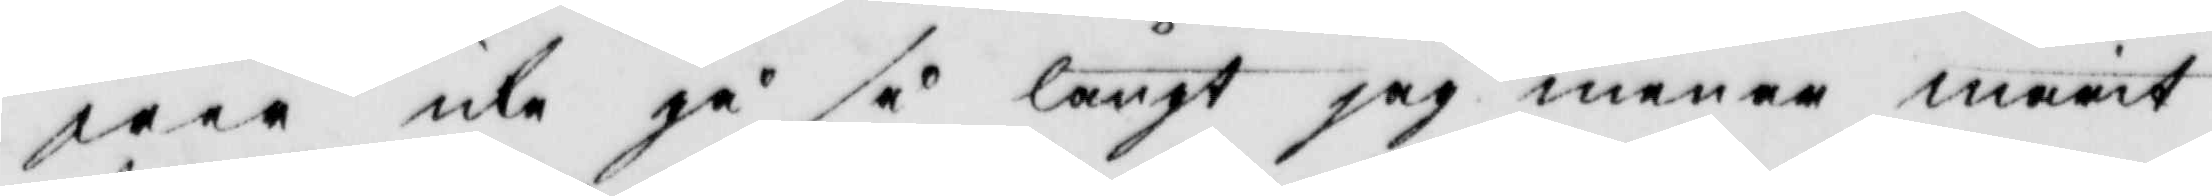wer icke gå så långt jag menar marit
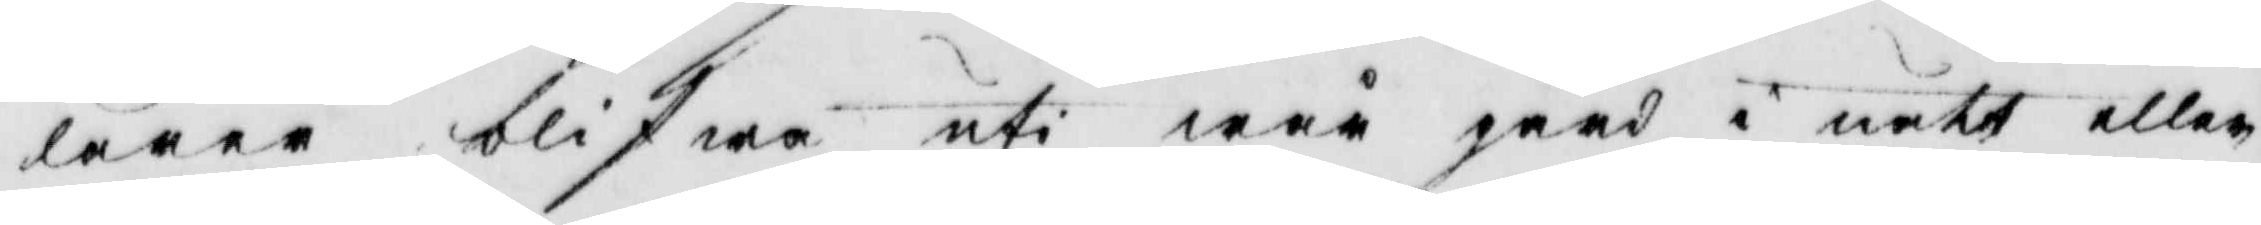lärer blifwa uti wår gård i natt eller
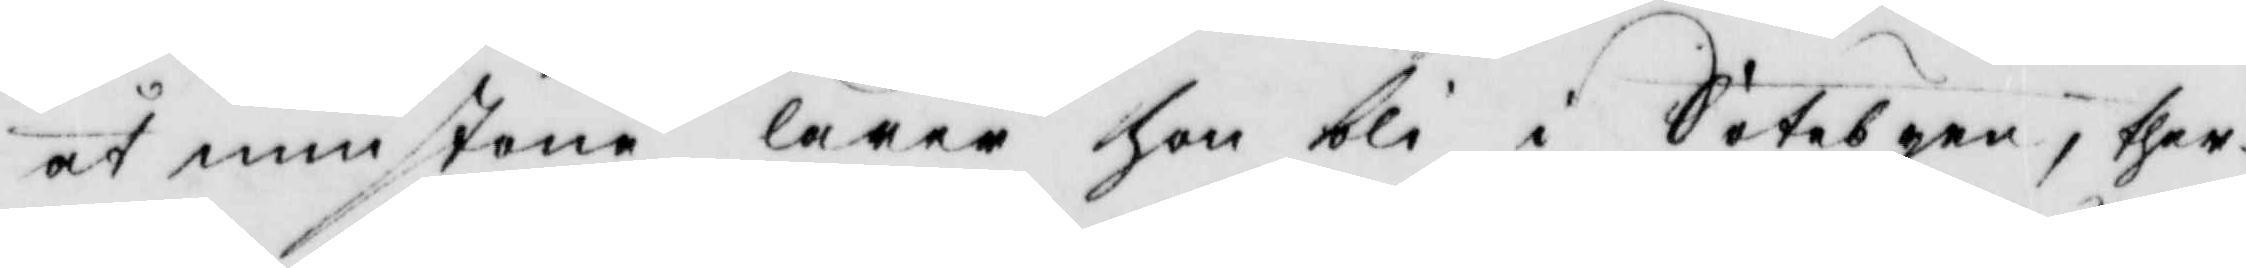åt minstone lärer Hon bli i Sötebyen; ther¬
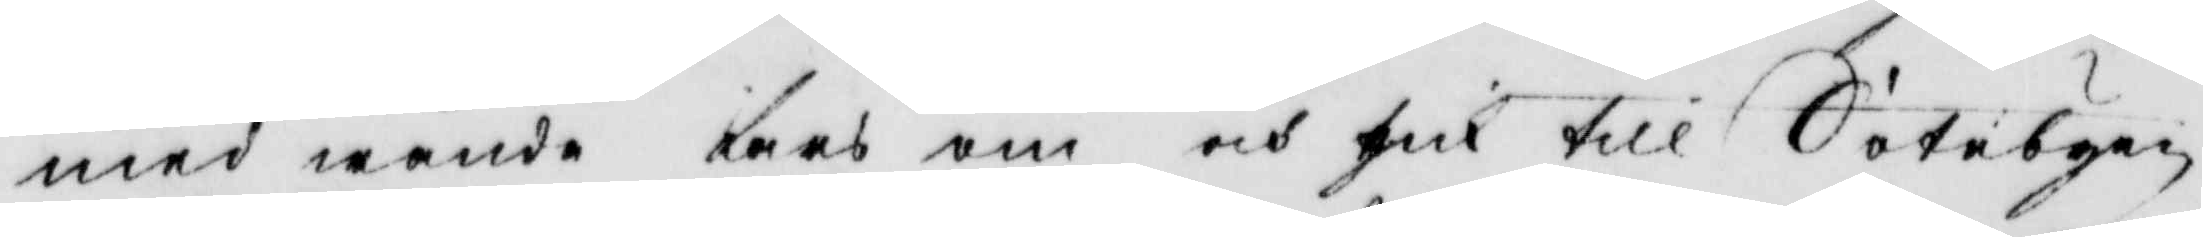med wände Lars om och gick till Sötebyen
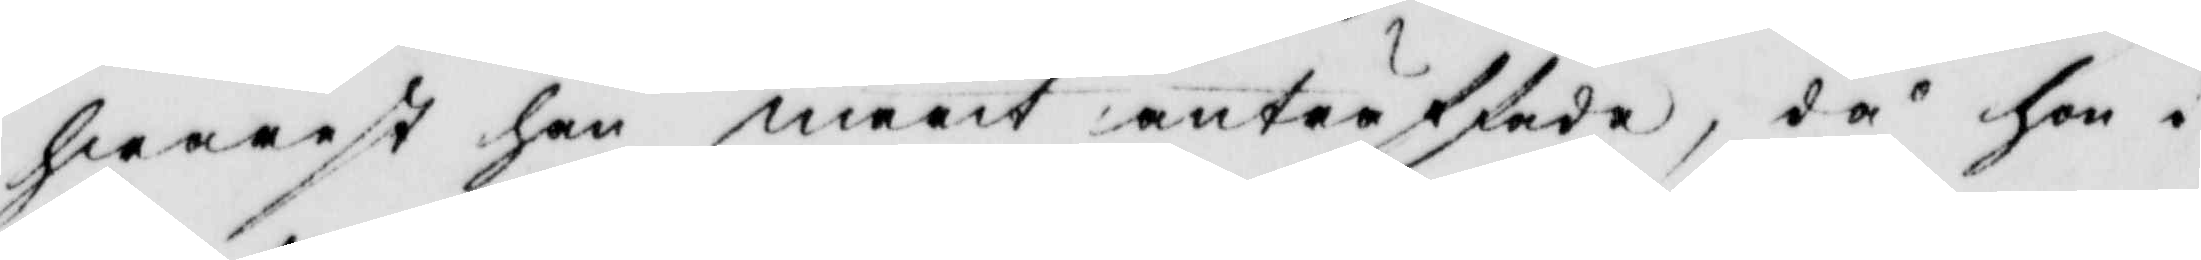hwarest han marit anträffade, då Hon i
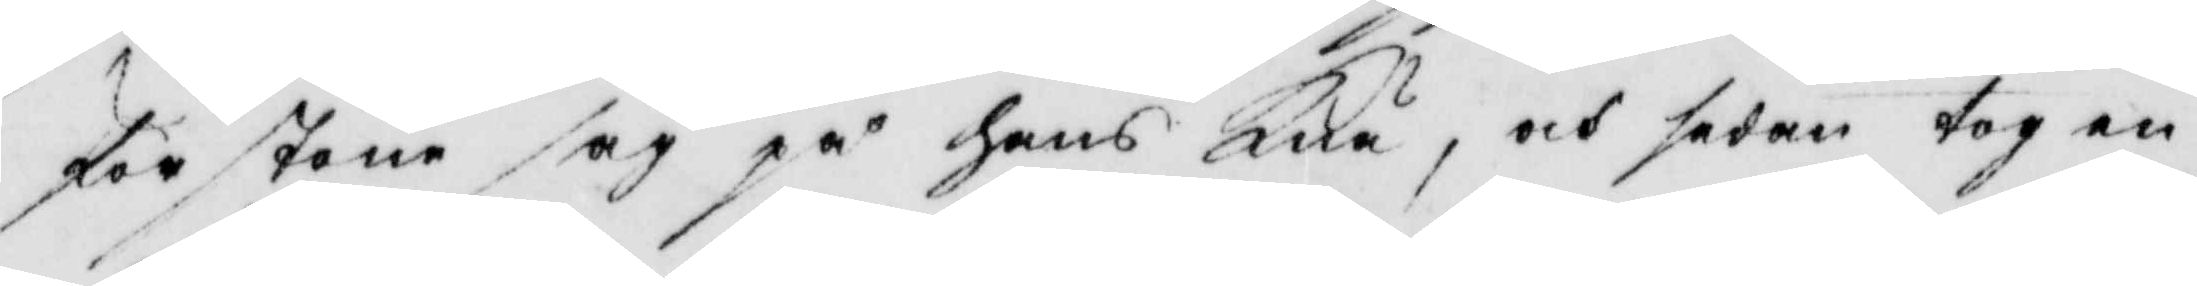förstone såg på hans Knä, och sedan tog en
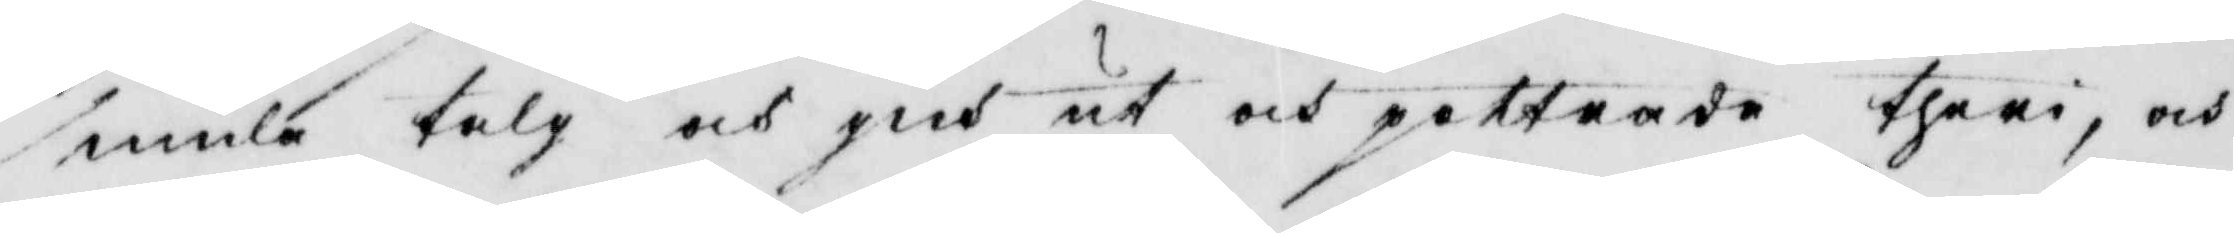smula talg och gich ut och pottrade theri, och
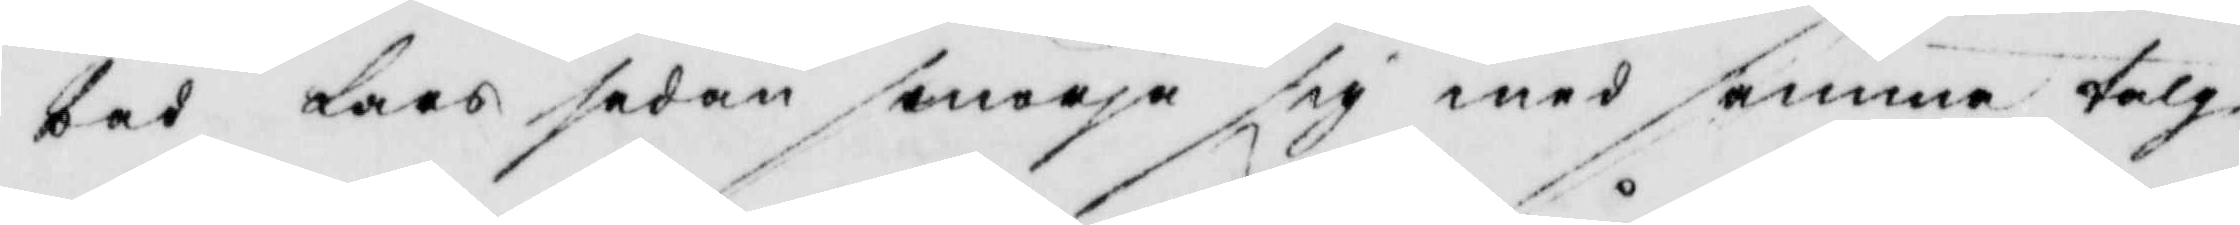bad Lars sedan smörja sig med samma talg
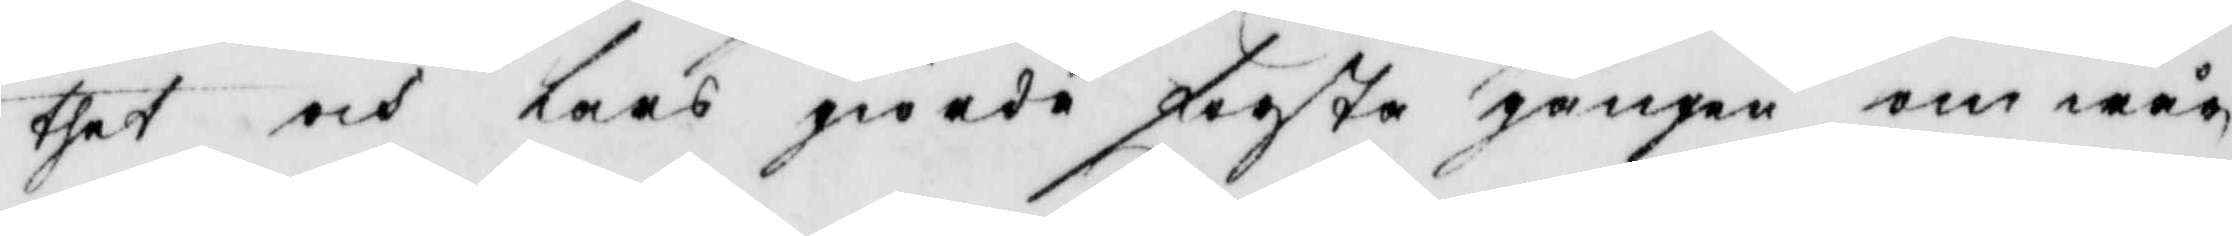thet och lars giorde första gången om wår¬
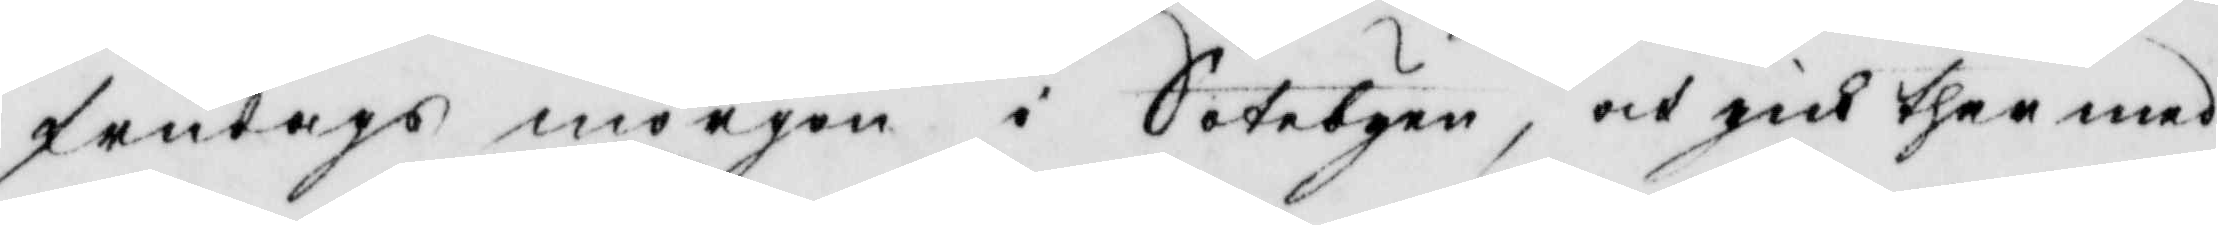frutags morgon i Sotebyen, och gick ther med
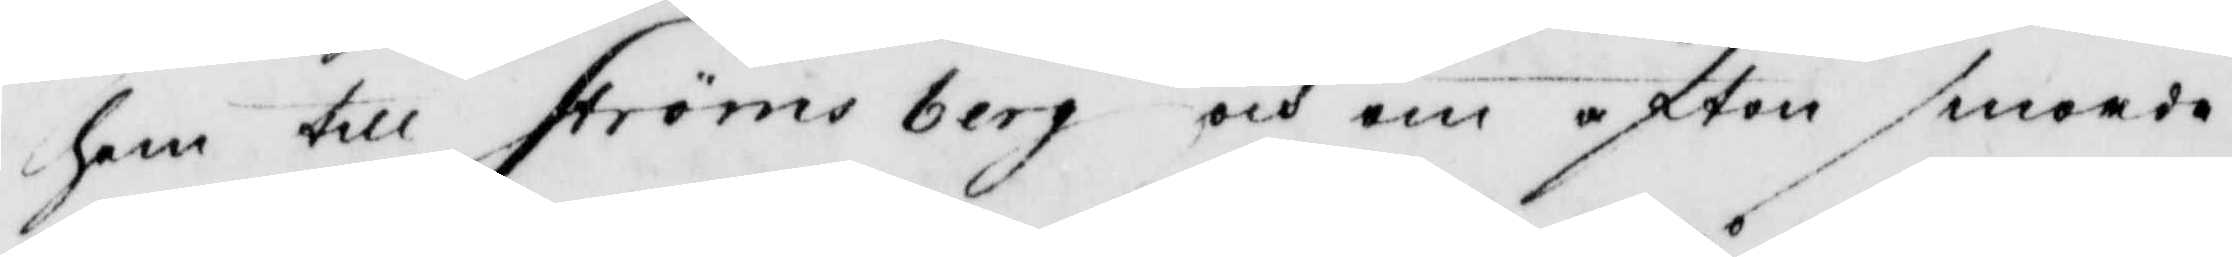hem till Ströms berg och om afton smorde
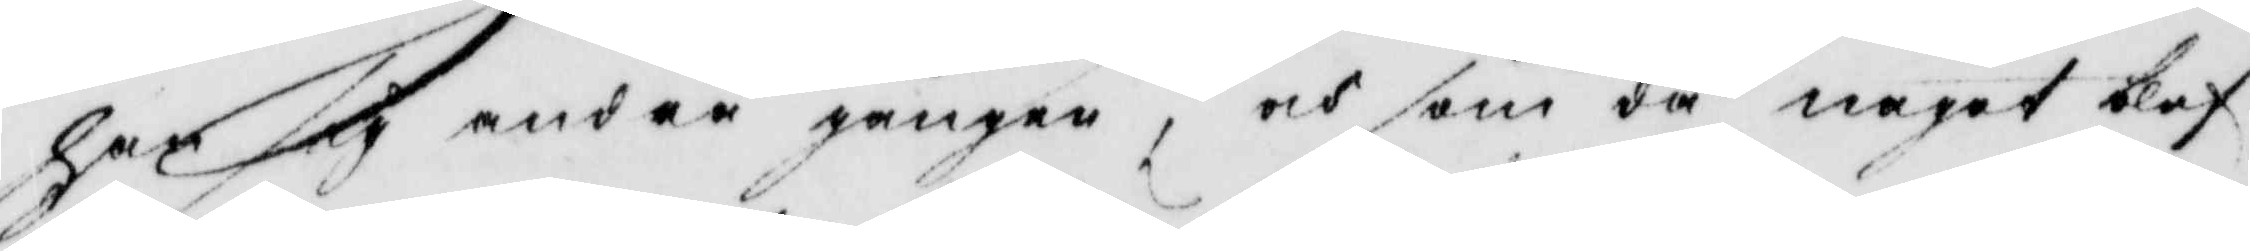han sig andre gången, och som då något blef
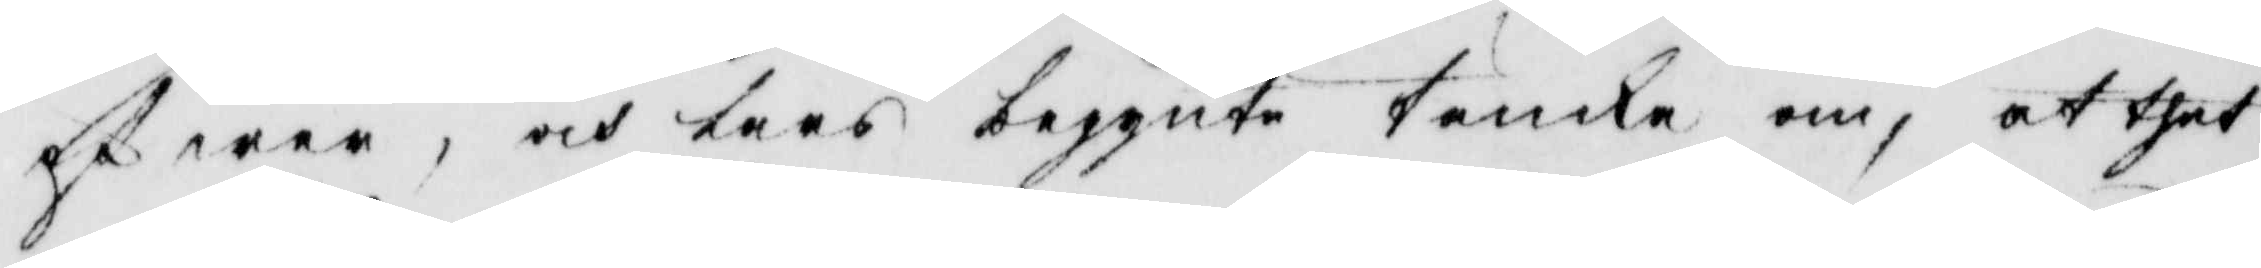öfwer, och Lars begynte täncka om, at thet
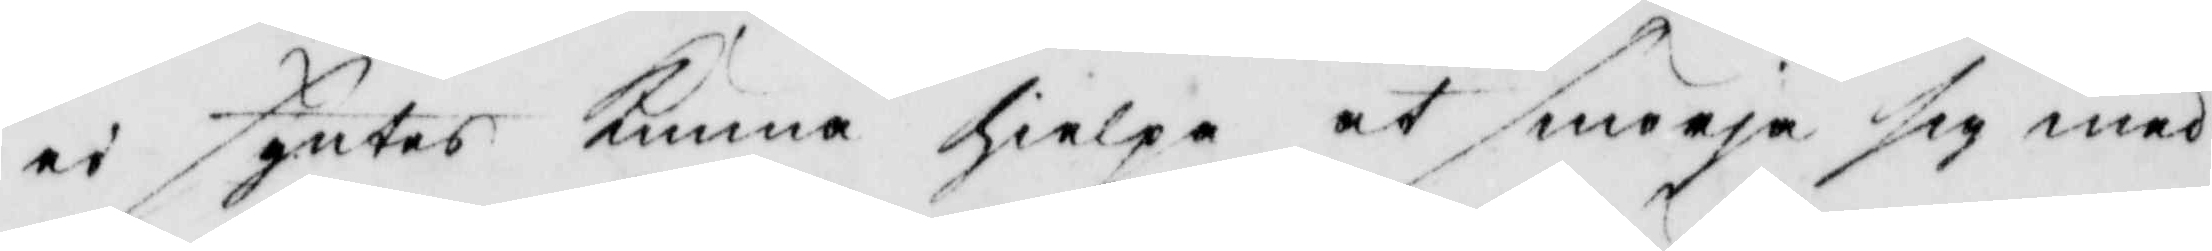ei syntes kunna hielpa at smörja sig med
